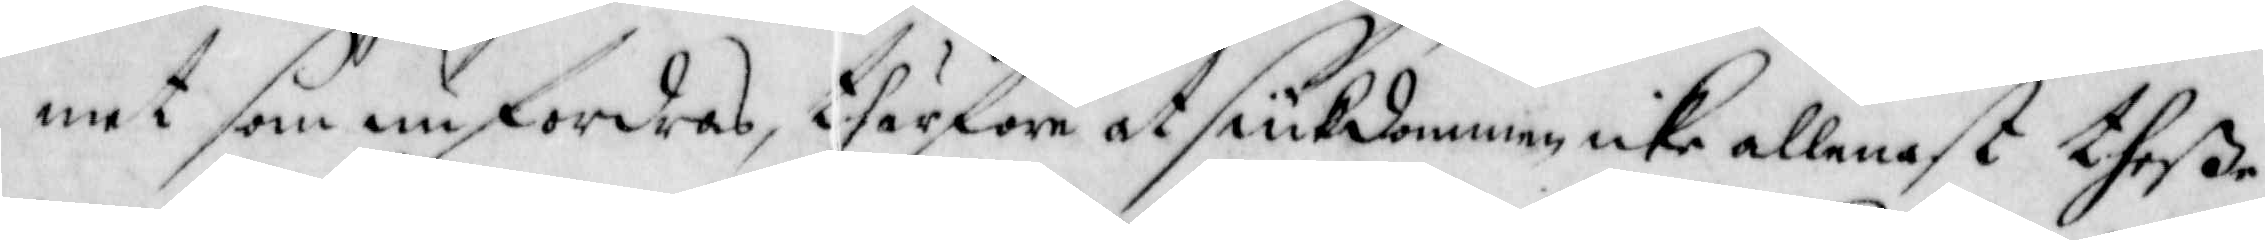met som unfordras, thärföre at siukdommen, icke allenast theße
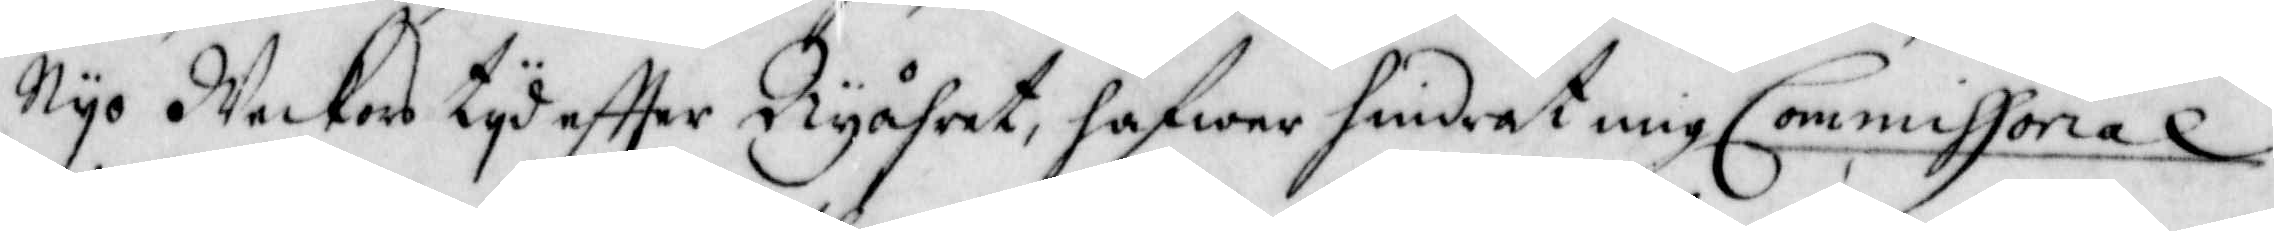Nÿo Weckors tÿd effter Nyåhret, hafwer hindrat mig Commissioral
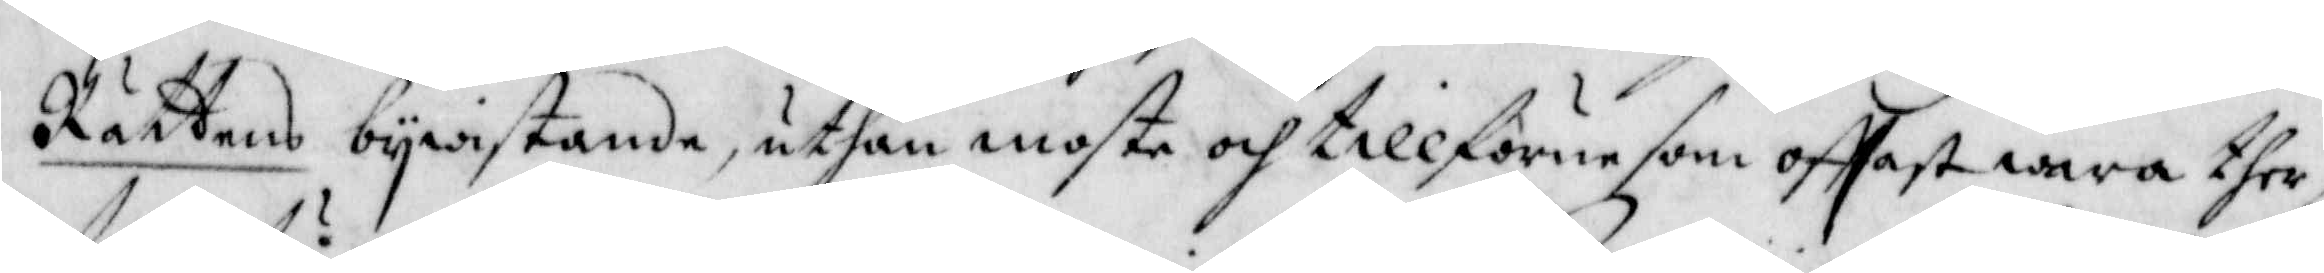Rättens bywistande, uthan moste och tillförne som offtast wara ther,
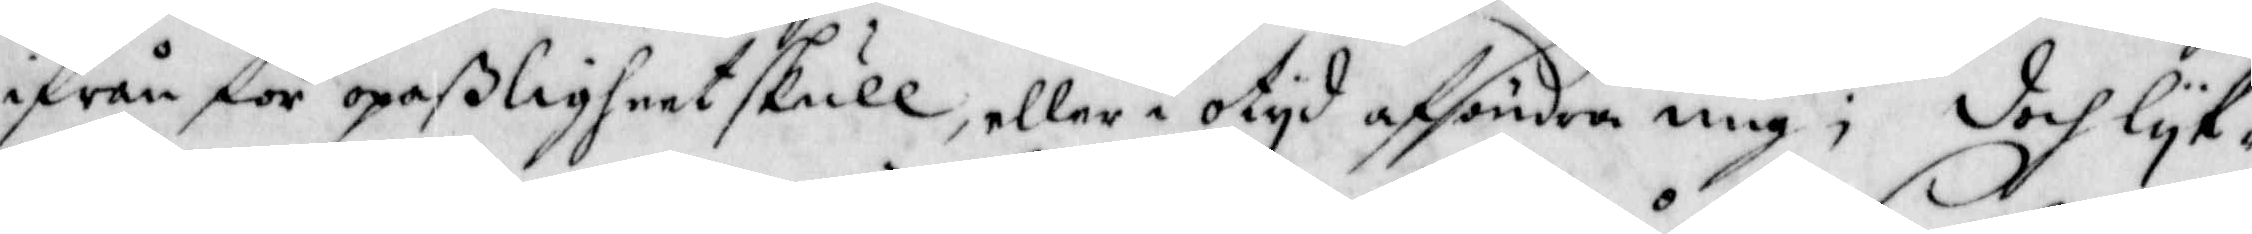ifrån för opaßligheet skull, eller i otyd afsöndra mig; doch lyk-
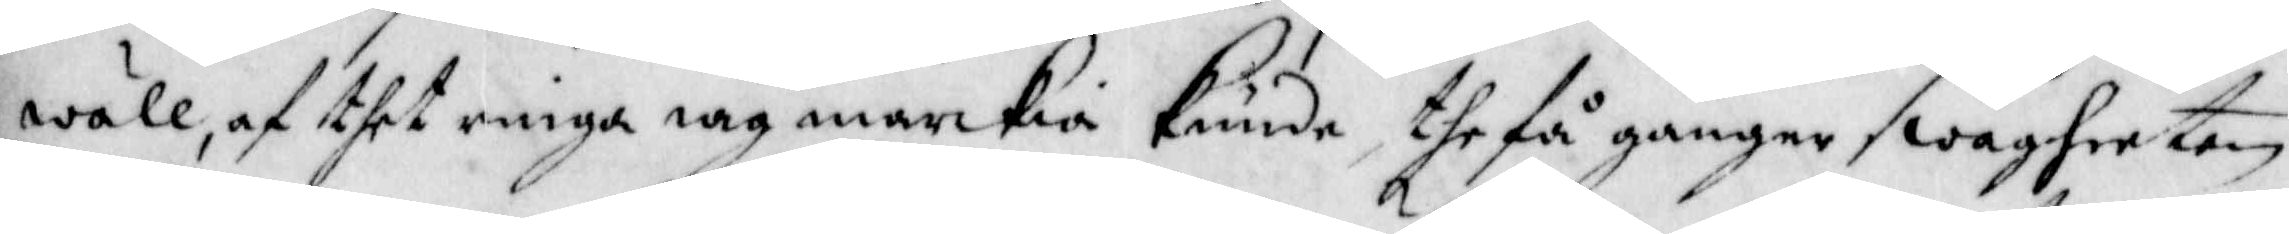wäll, af thet ringa iag märckia kunde the få gånger swagheeten
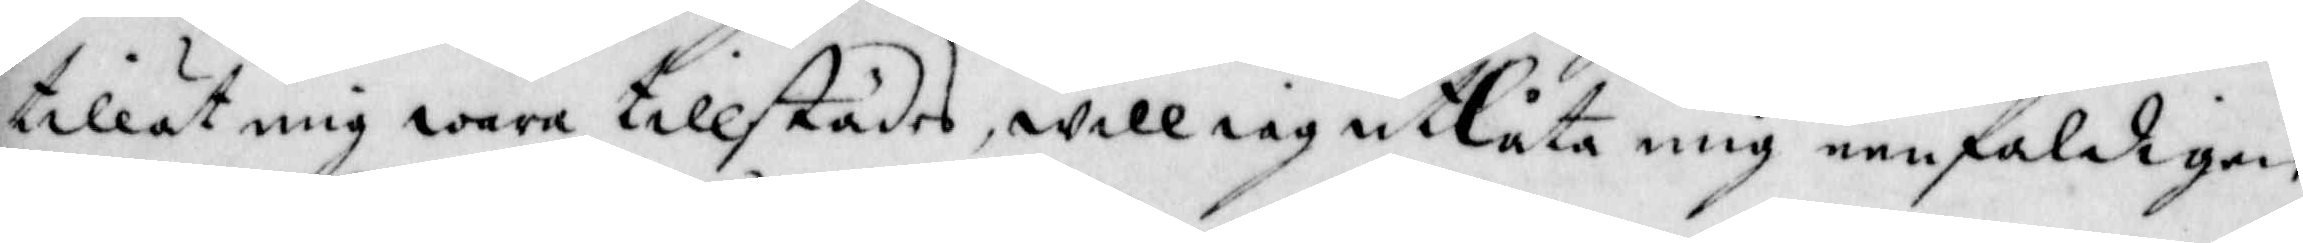tillät mig wara tillstädes, will iag utlåta mig eenfaldigen
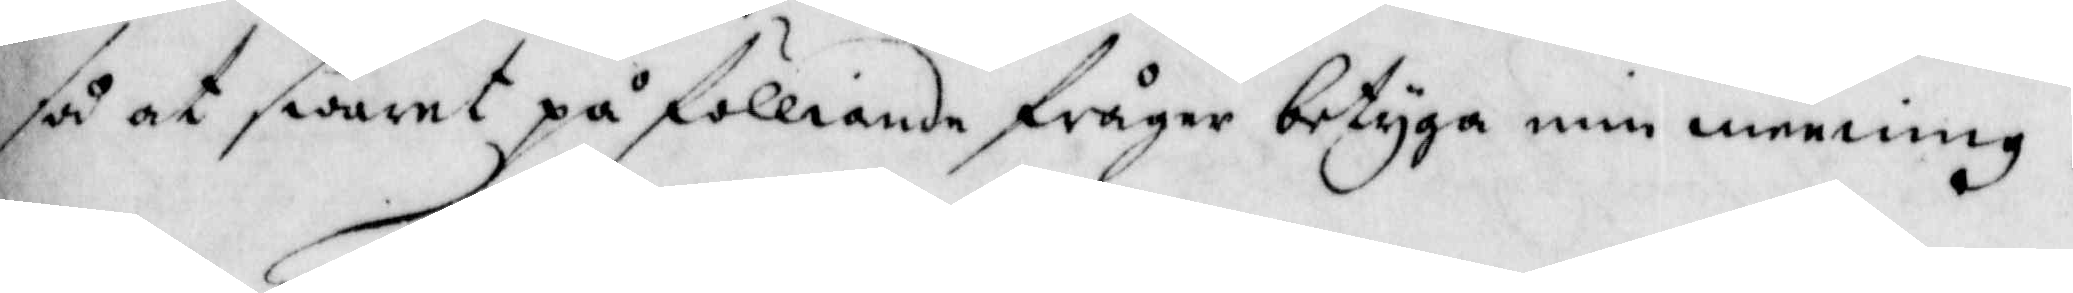så at swaret på fölliande fråger betyga in meening.
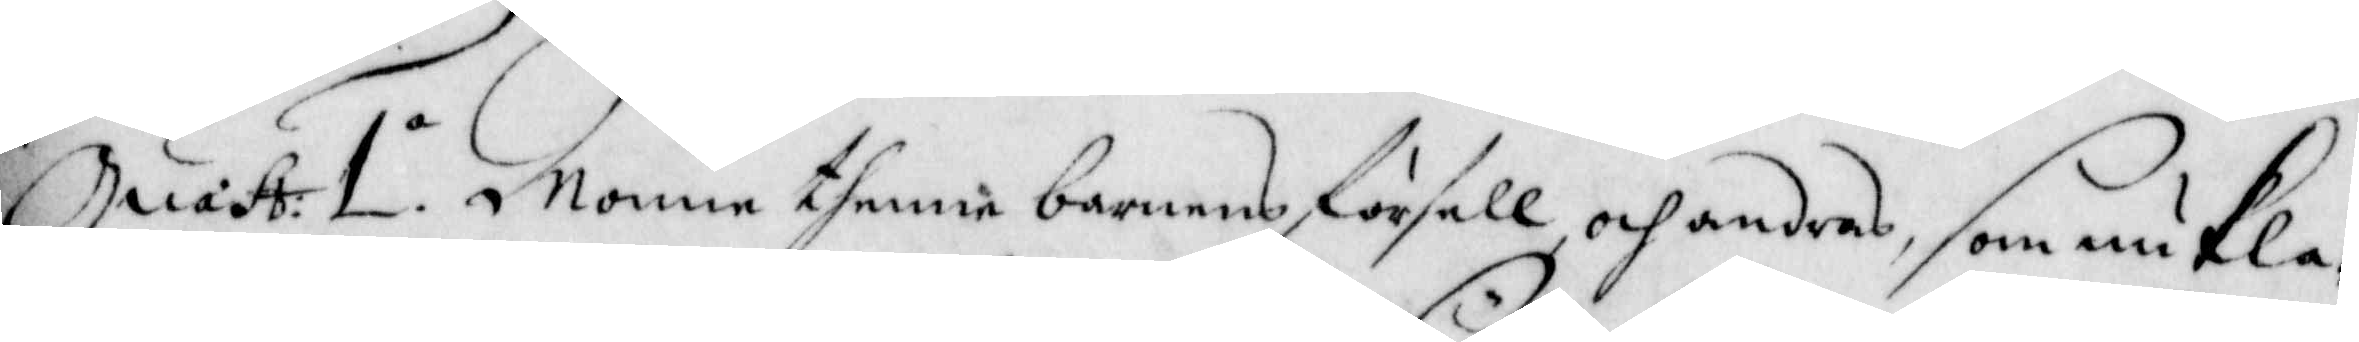Quest: 1a. Monne thenne barnens försell, och andras, som nu kla-
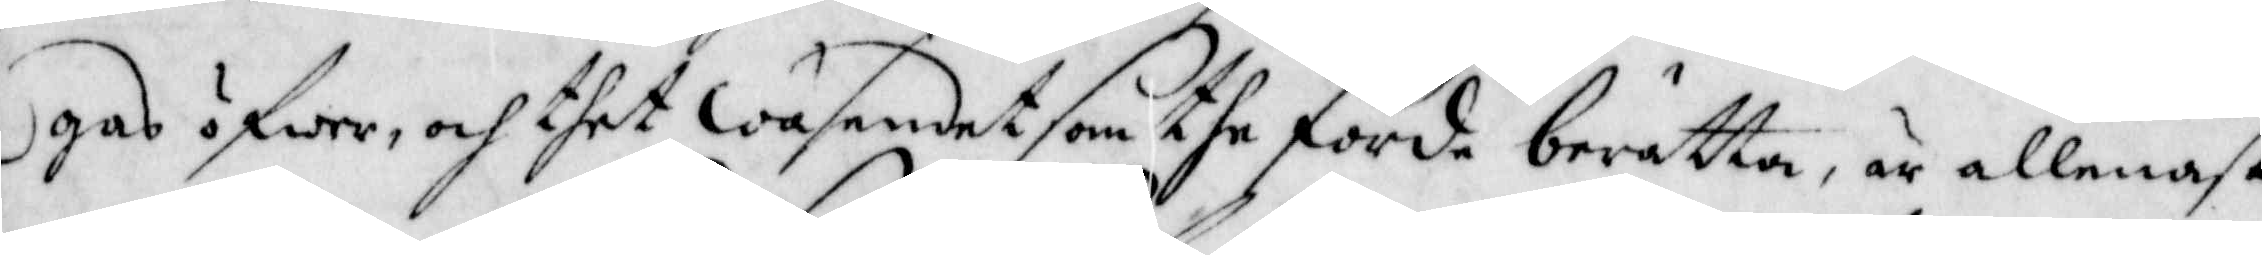gas öfwer, och thet väsendet som the förde berätta, är allenast
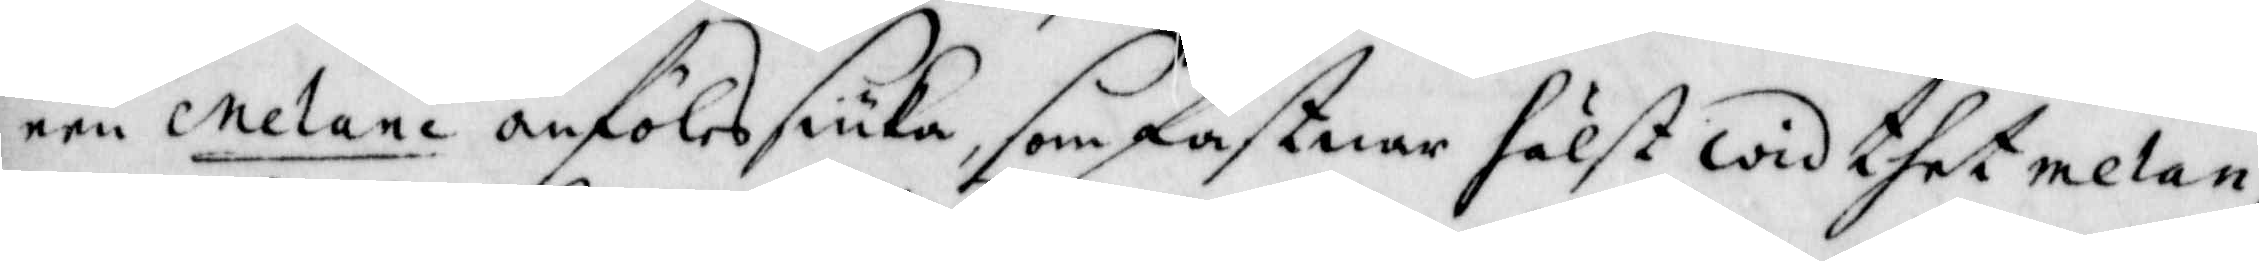en Melane anföles siuka, som fastnar hälst wid thet melan-
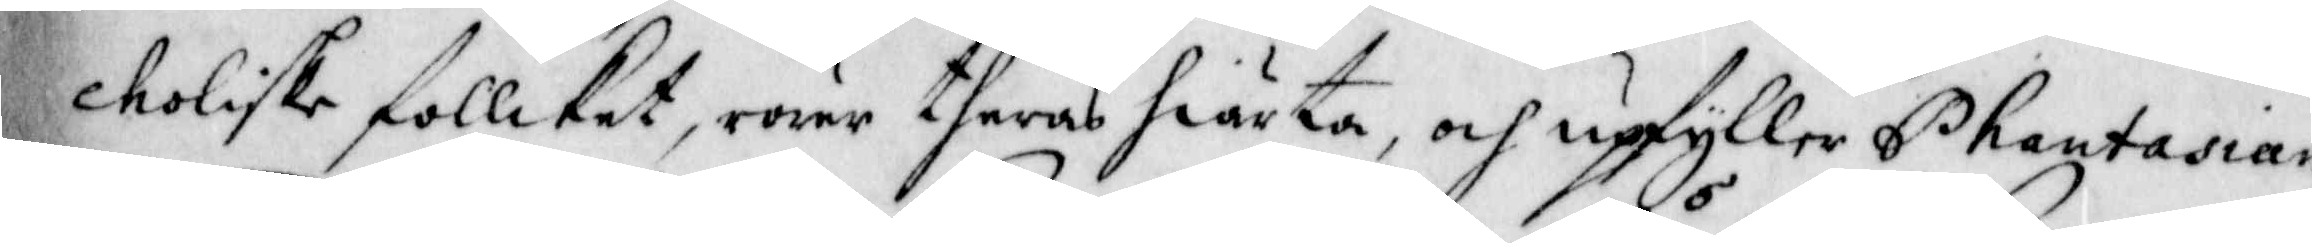choliske follcket, rörer theras hiärta, och upfyller Phantasian
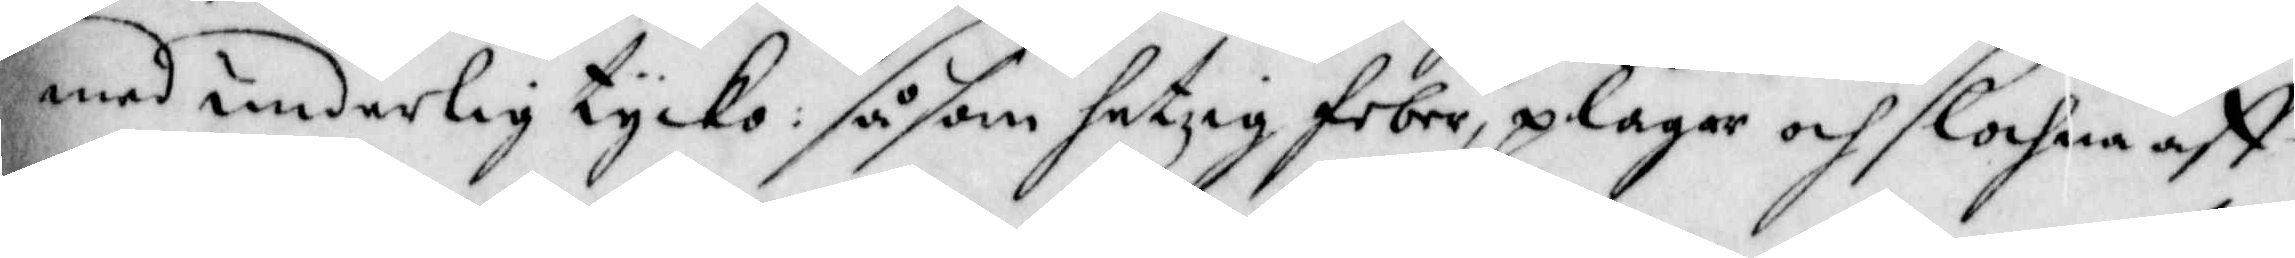med underlig tycko: såsom hetsig feber, plågar och slochna aff
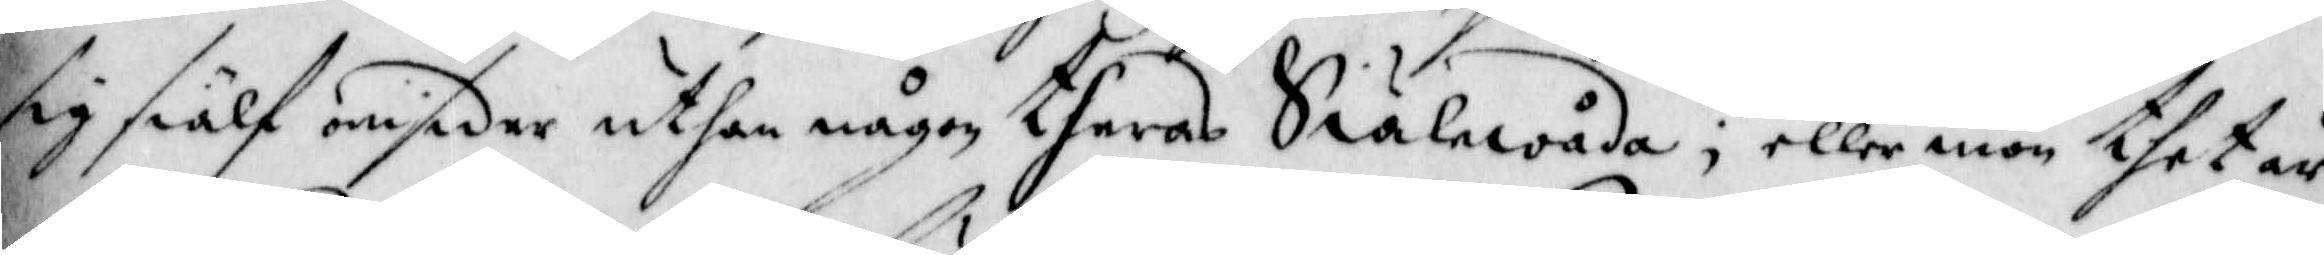sig sielf omsider uthan någon theras Siälewåda; eller men thet är
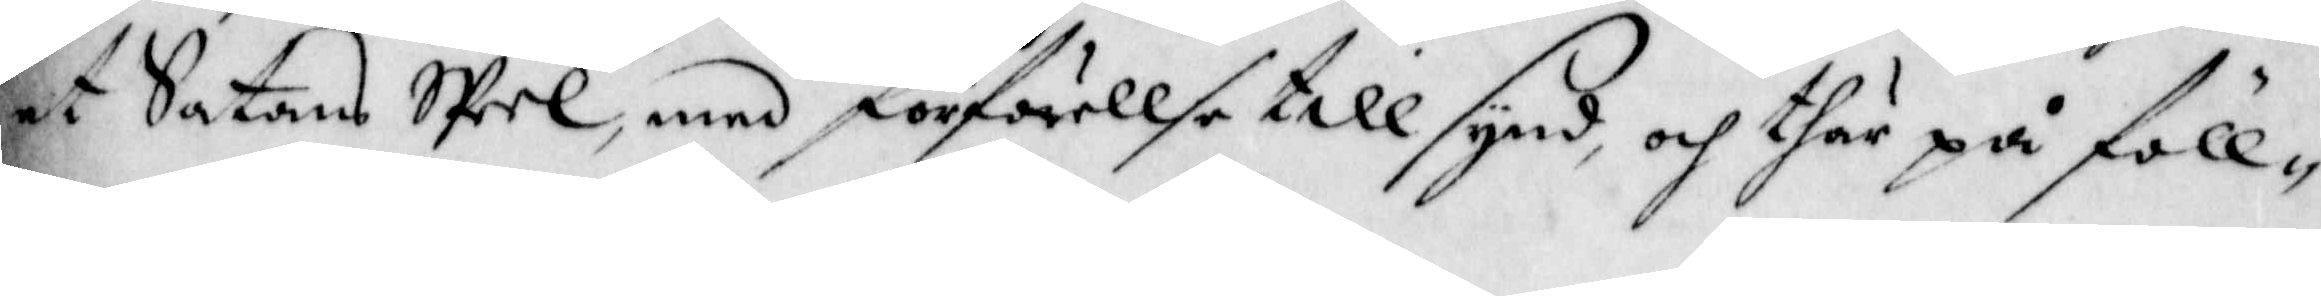et Satans Speel, med förförellse till synd, och thär på föll-
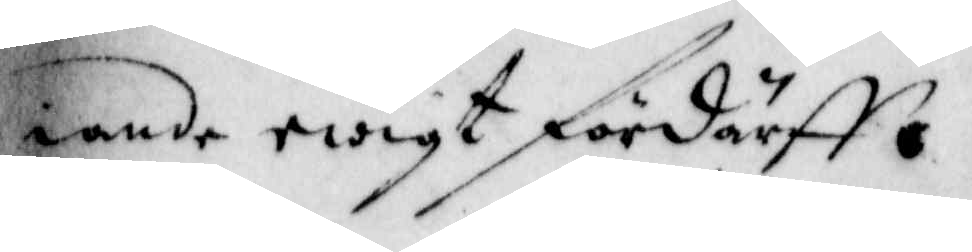iande redigt fördärff.
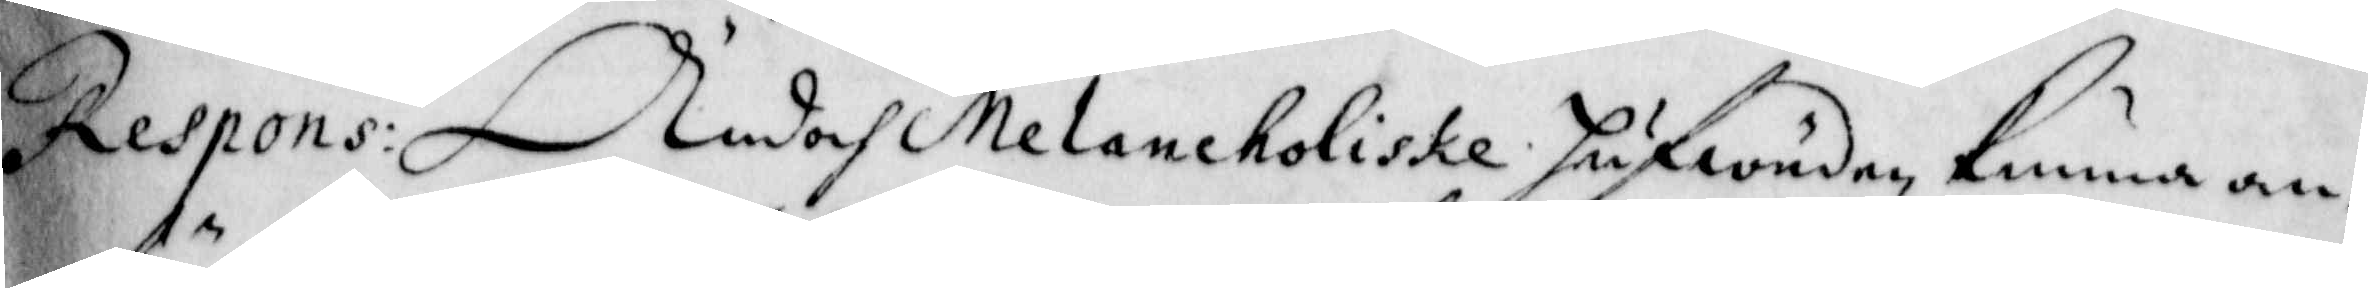Respons: Ändoch Melancholiske hufwuden, kunna an-
